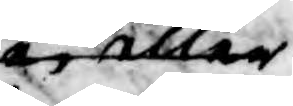ej eller 
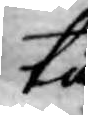tå
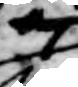ej
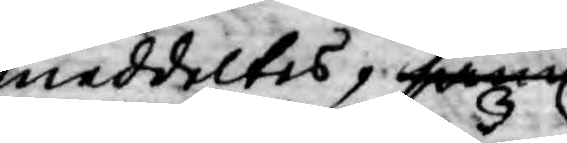meddeltes, samt
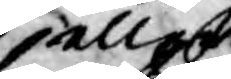aller
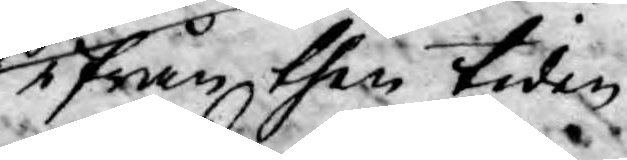ifrån then tiden
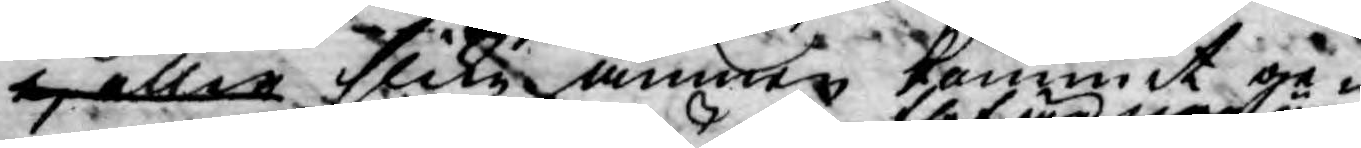ej eller slika ämnen kommit ge¬
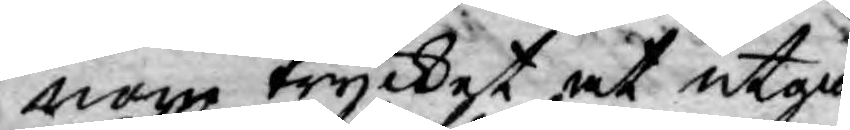nom trycket at utgå
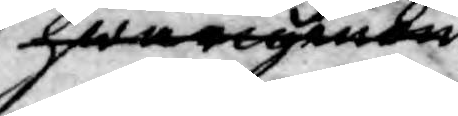hwarigenom
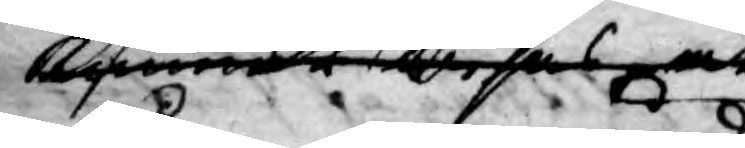kommer wisas at
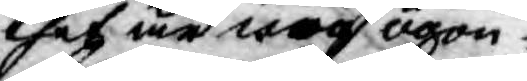thet är nog ögon¬
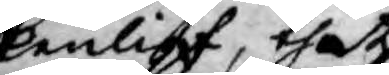kenligt thet
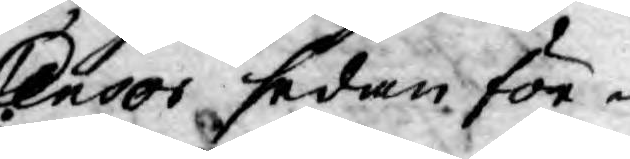Censor sedan för¬
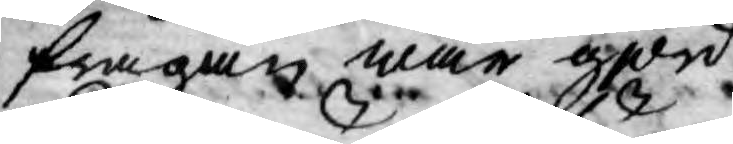frågan war giord
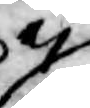ej
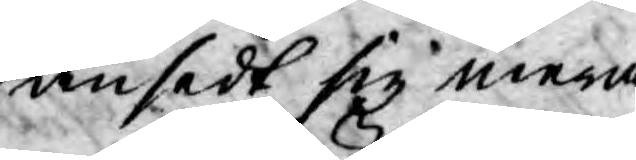ansedt sig mera
